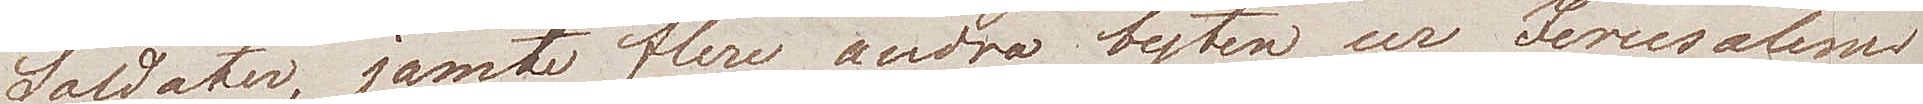Soldater, jamte flera andra byten ur Jerusalems
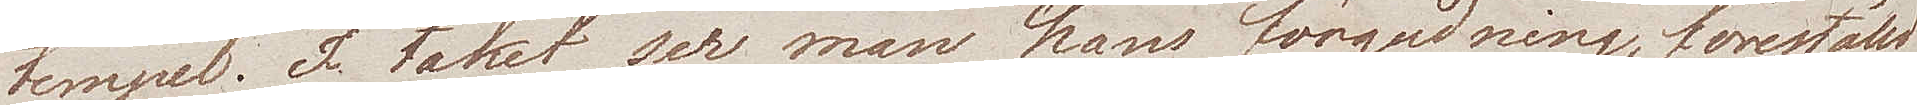tempel. I taket ser man hans förgudning, föreställd
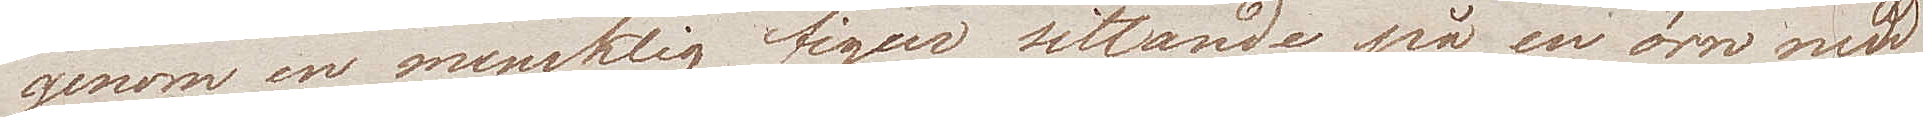genom en mensklig figur, sittande på en örn med
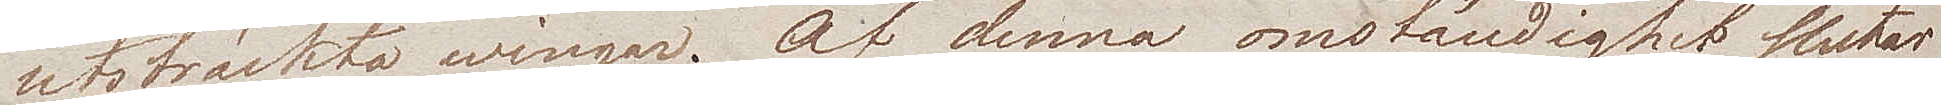utsträckta wingar. Af denna omständighet sluter
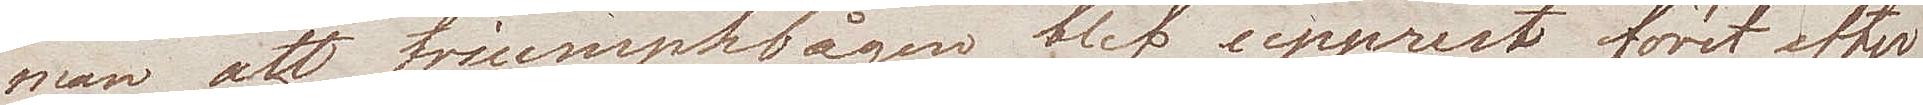man att triumphbågen, blef upprest först efter
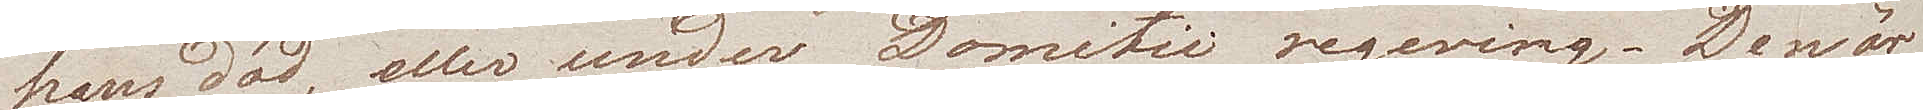hans död, eller under Domitii regering. Den är
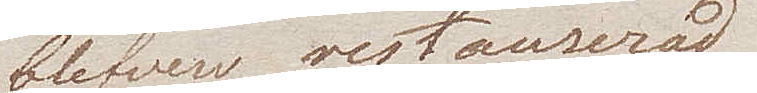blifven restaurerad
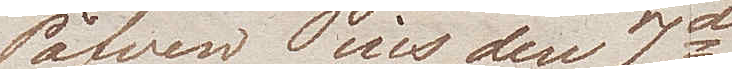af Påfven Pius den 7de.
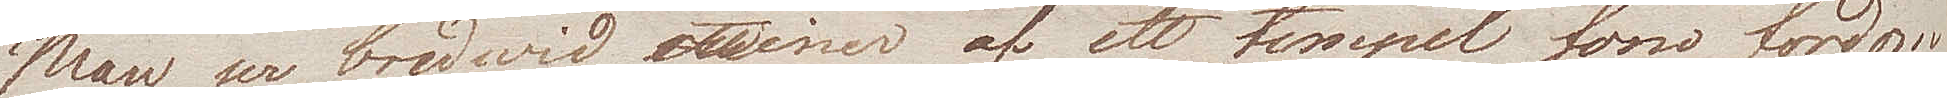Man er bredwid ruiner af ett tempel som fordom
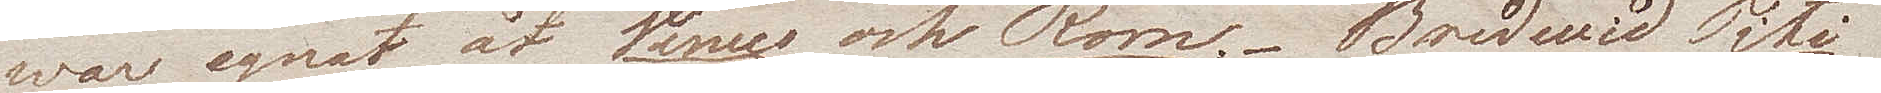war egnat åt Venus och Rom. - Bredwid Titi
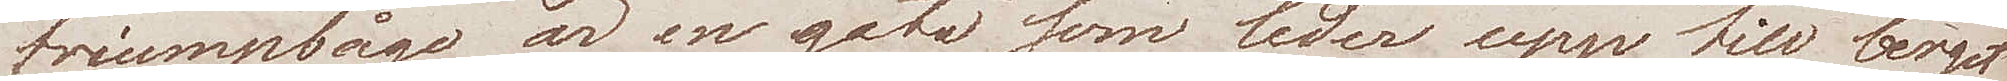triumpbåge är en gata som leder upp till berget
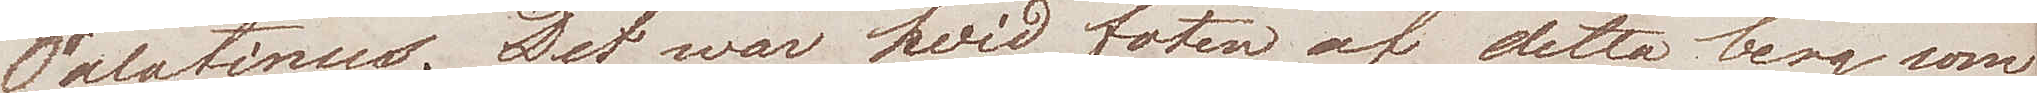Palatinus. Det war hvid foten av detta berg som 
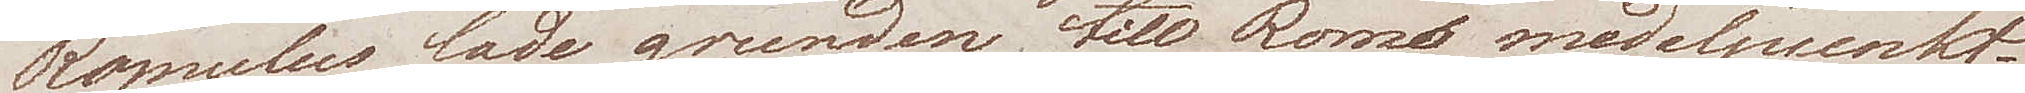Romulus lade grunden till Roms medelpunkt
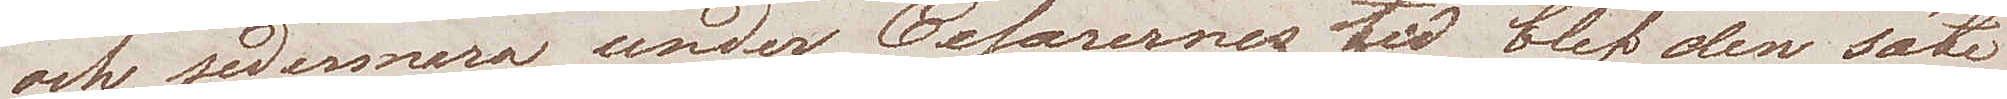och sedermera under Cesarernes tid blef den säte
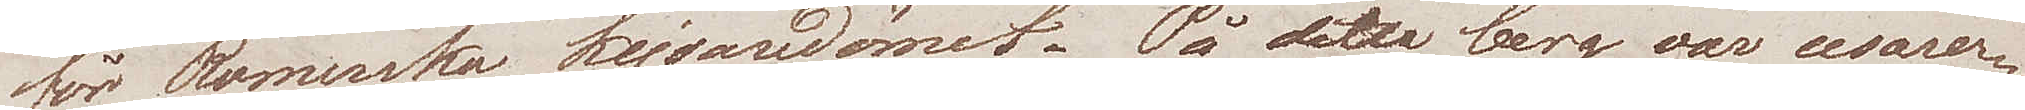för Romerska kejsardömet. På detta berg var cesarer¬
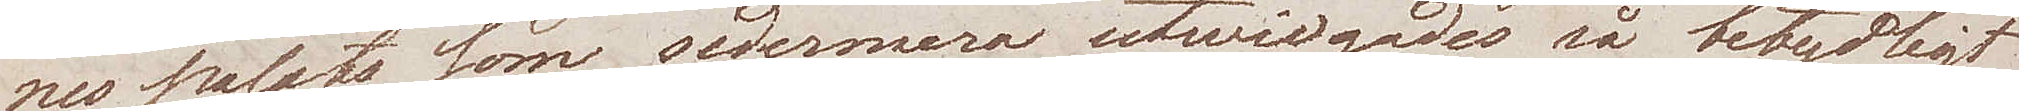nes palats som sedermera utwidgades så betydligt
